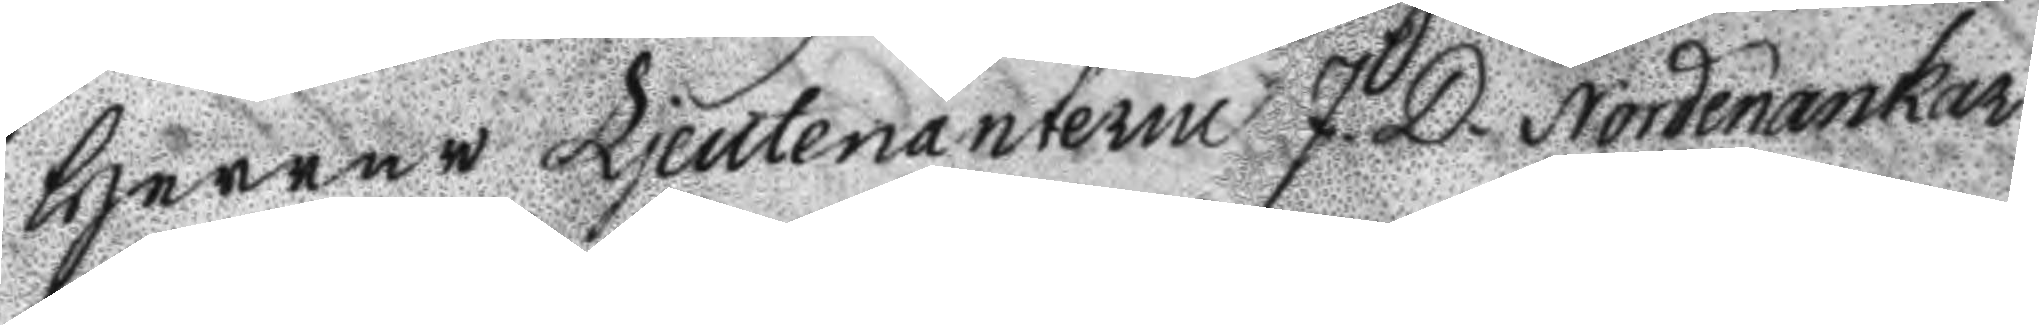Herrer Ljeutenanterne J. D. Nordenankar
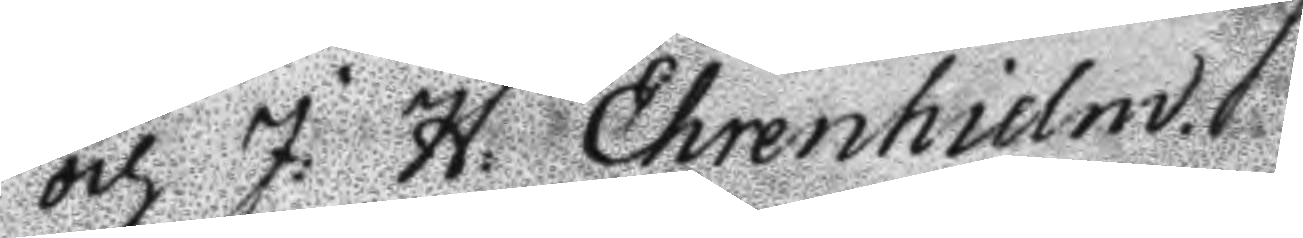och J: H: Ehrenhielm.
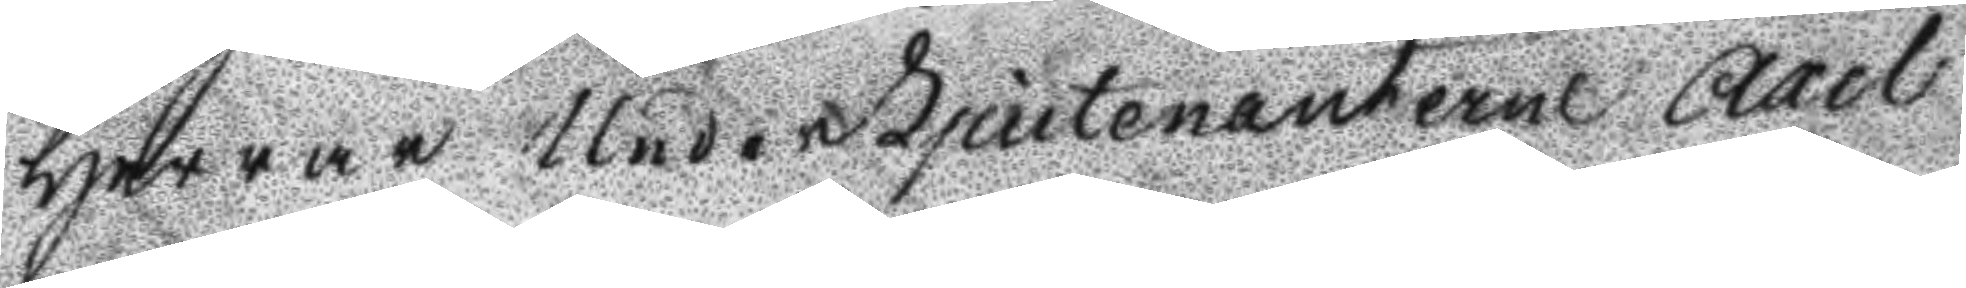Herrar UnderLjeutenanterne Axel
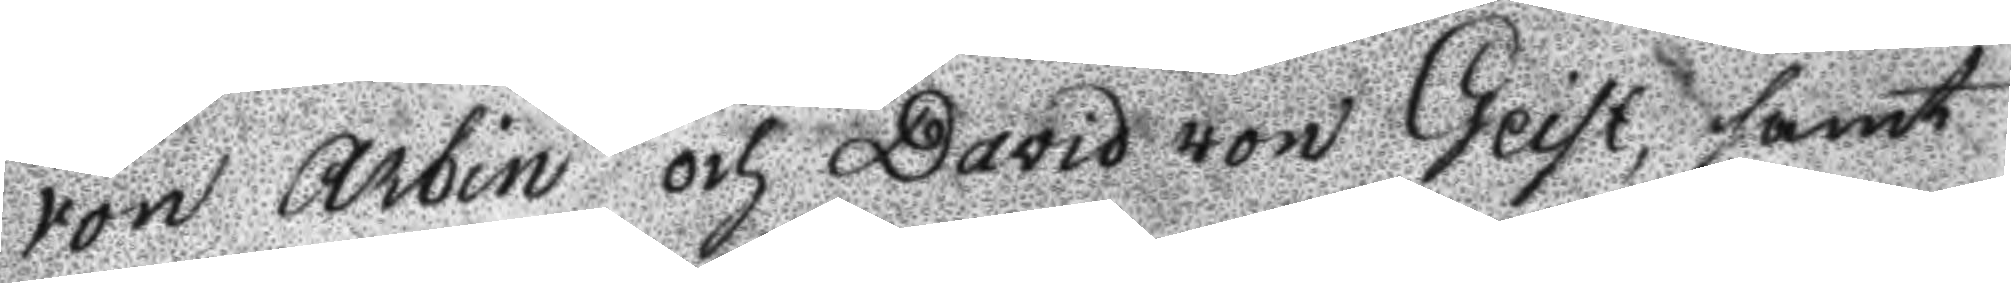von Arbin och David von Geist, samt
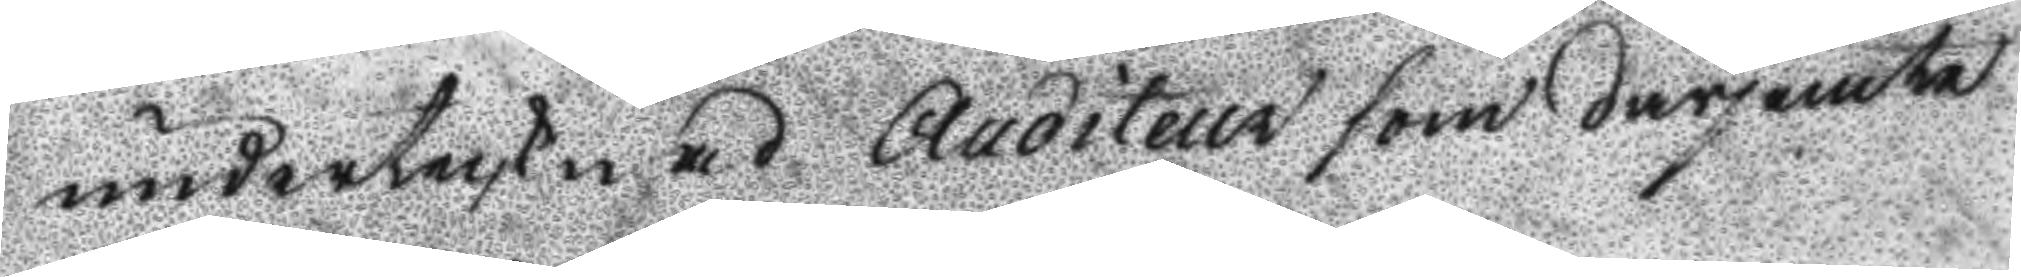undertecknad Auditeur som därjemte
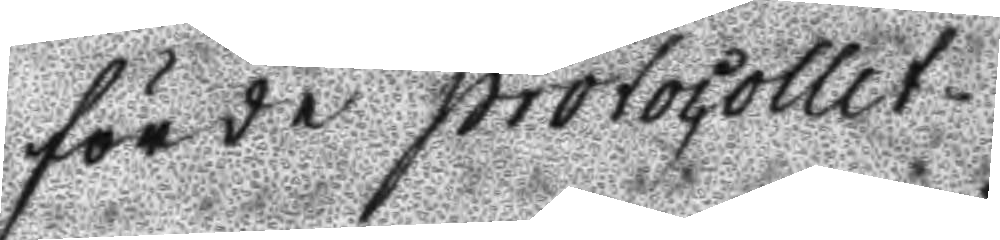förde protocollet.
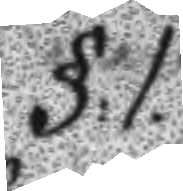§:1:
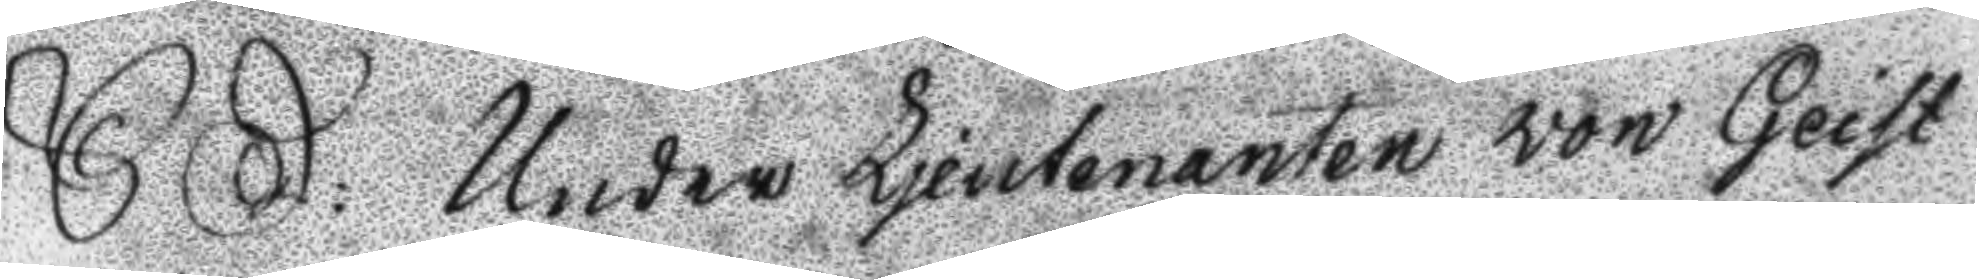S: D: Under Ljeutenanten von Geist
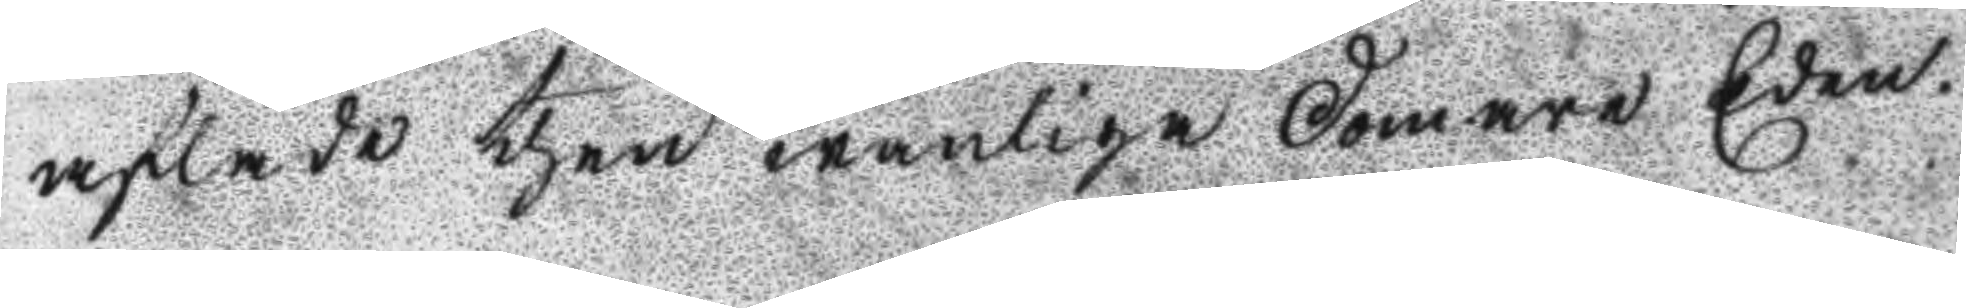aflade then wanliga domare Eden.
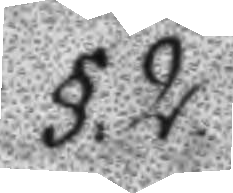§:2.
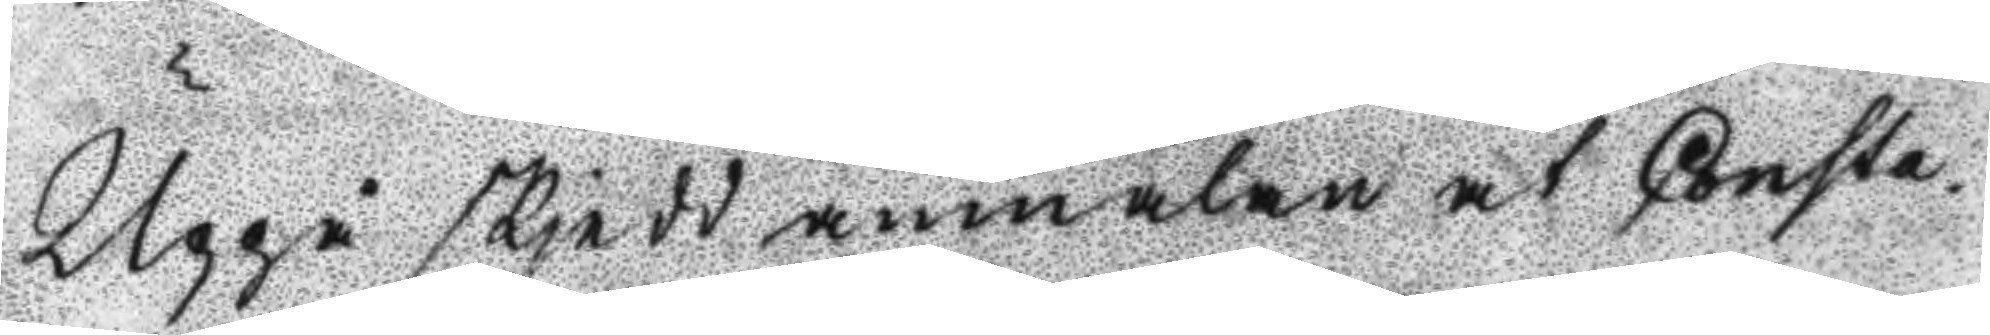Uppå skjedd anmälan at Consta¬
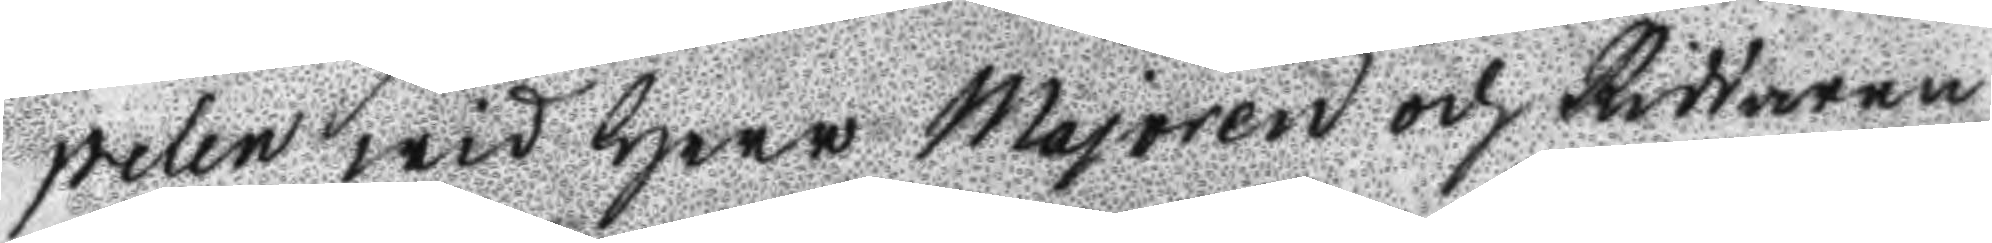pelen wid Herr Majoren och Riddaren
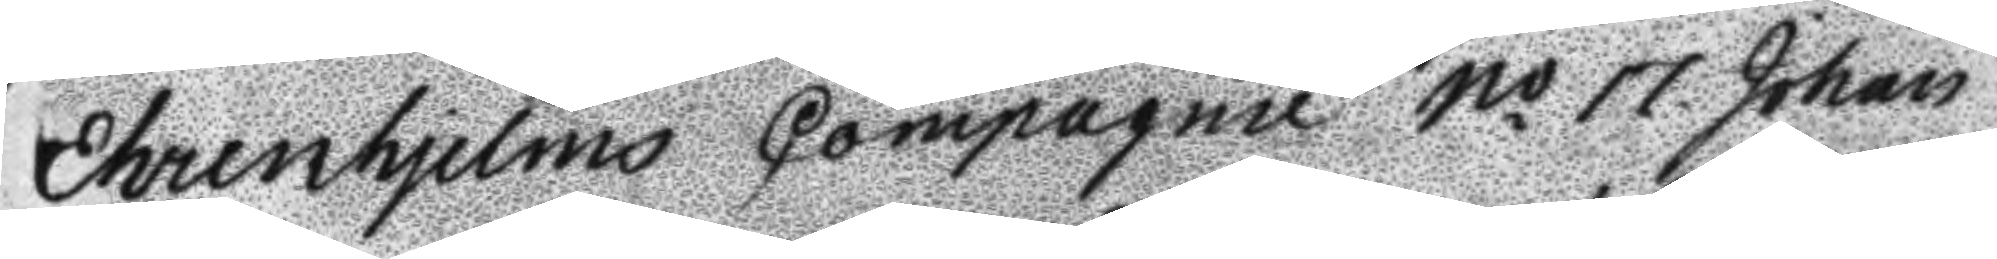Ehrenhjelms Compagnie No 17 Johan
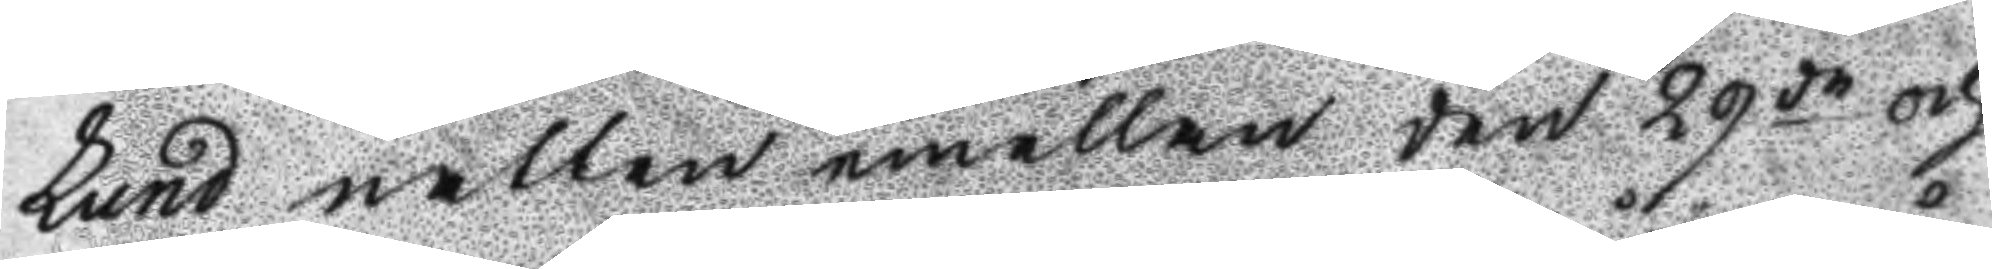Lund natten emellan den 29de och
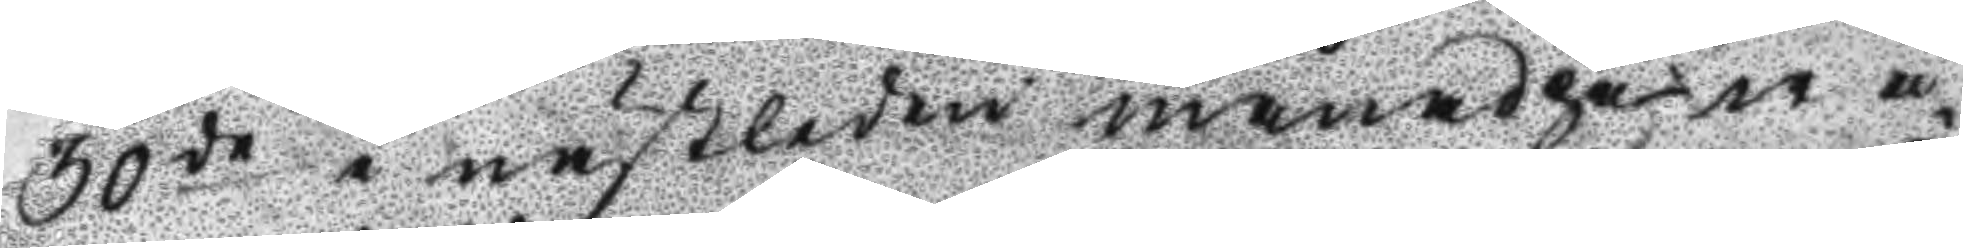30de i nästleden månad på wå¬
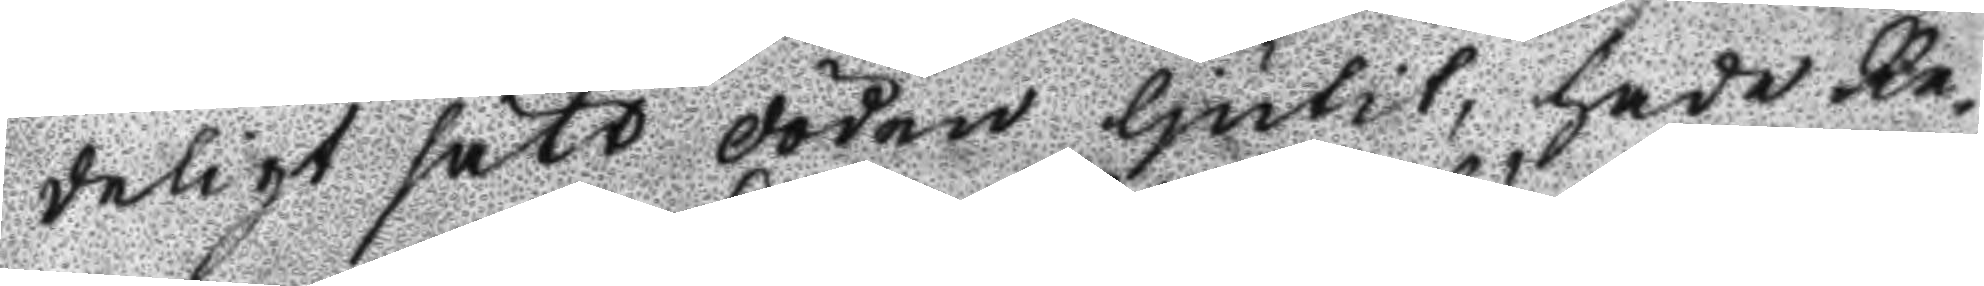deligt sätt döden ljudit, hade Re¬
